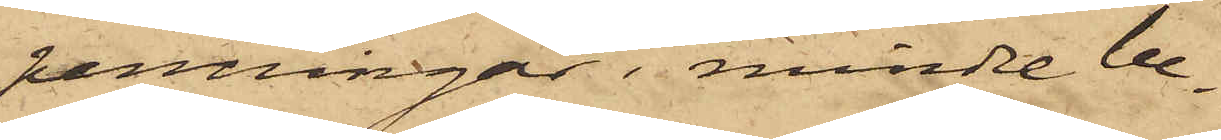penningar i mindre be¬
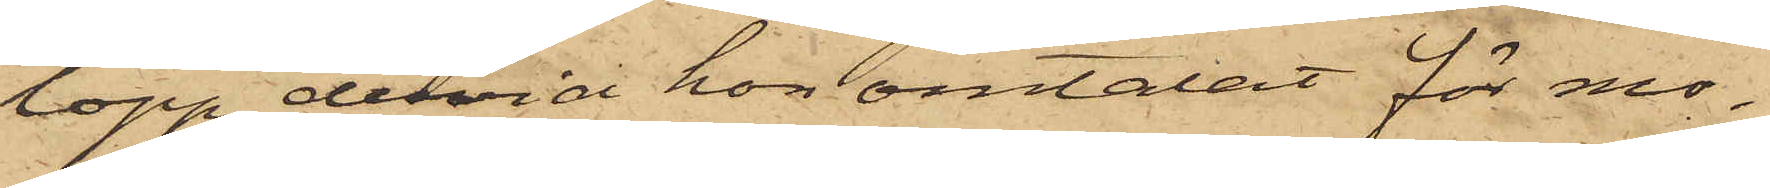lopp, dervid hon omtalat för mo¬
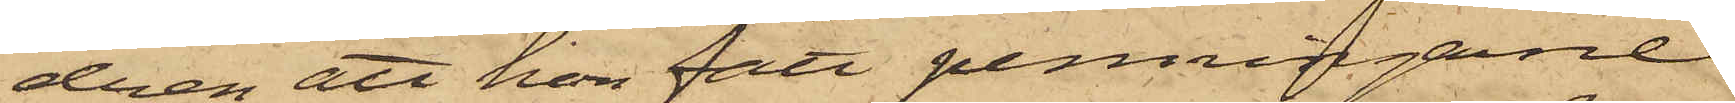dren att hon fått penningarne
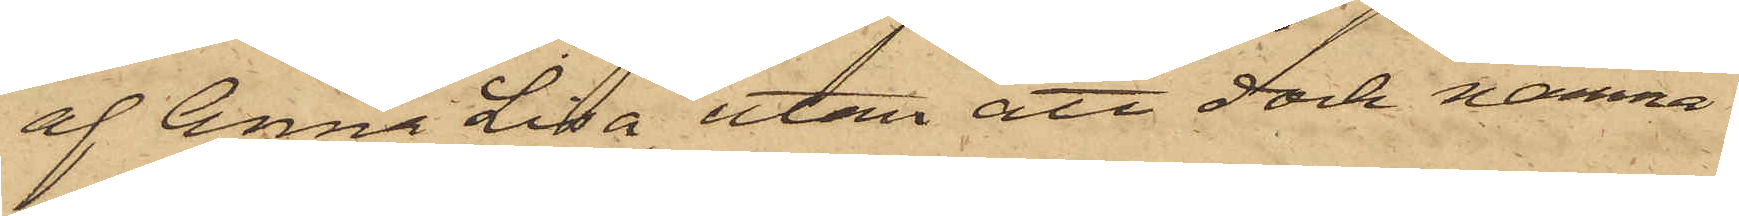af Anna Lisa, utan att dock nämna
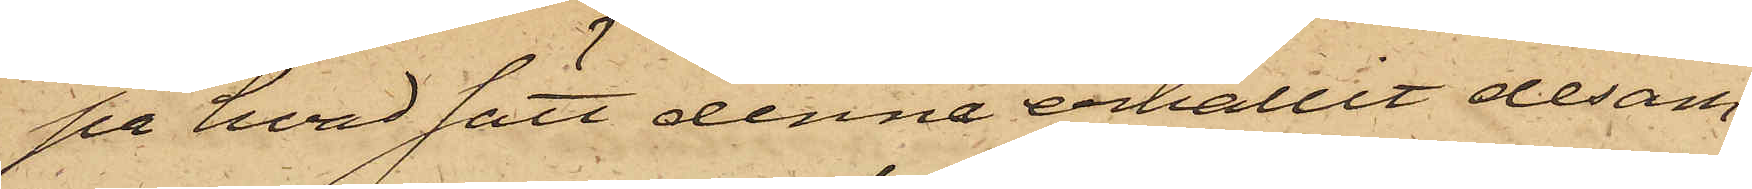på hvad satt denne erhållit desam¬
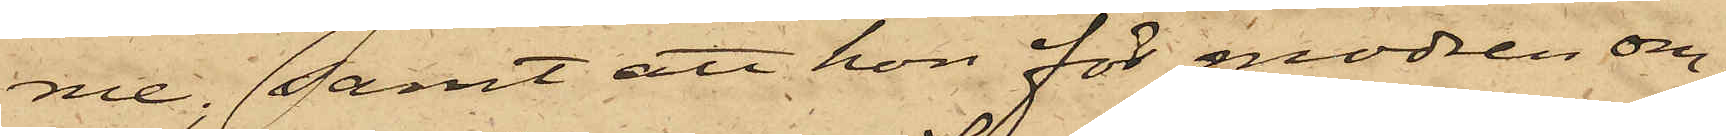me; samt att hon för modren om¬
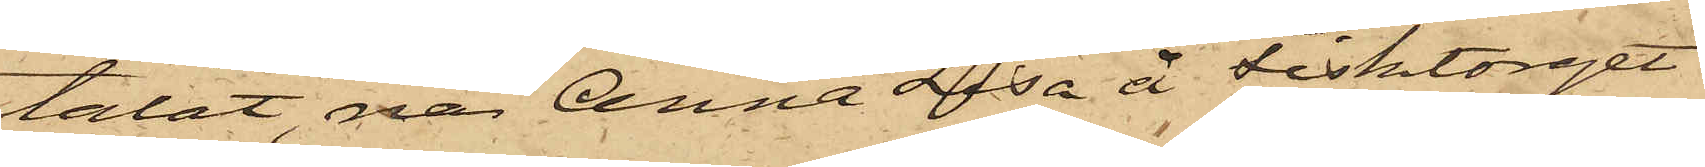talat, när Anna Lisa å Fisktorget
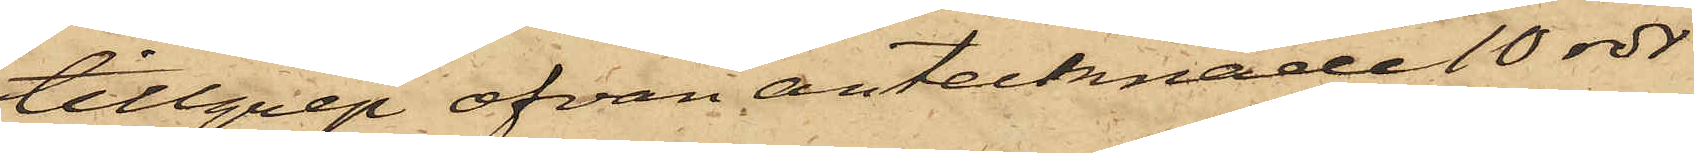tillgrep ofvan antecknade 10 rdr
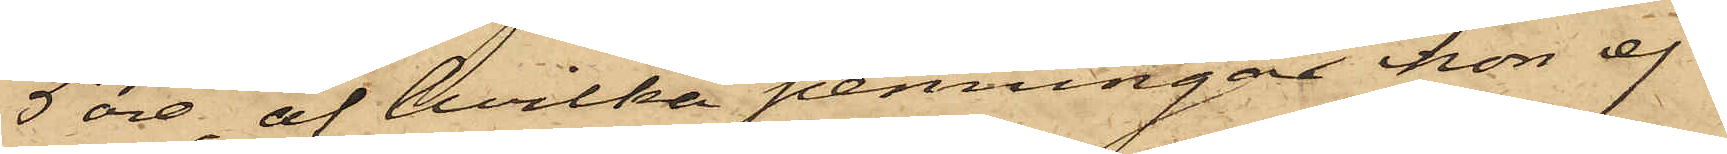5 öre, af hvilka penningar hon ej
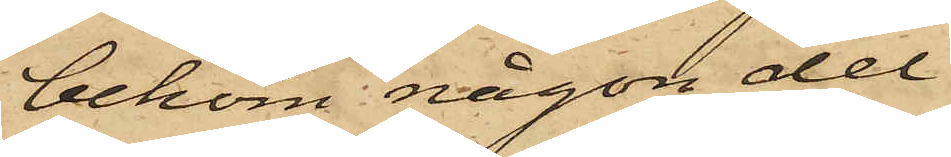bekom någon del.
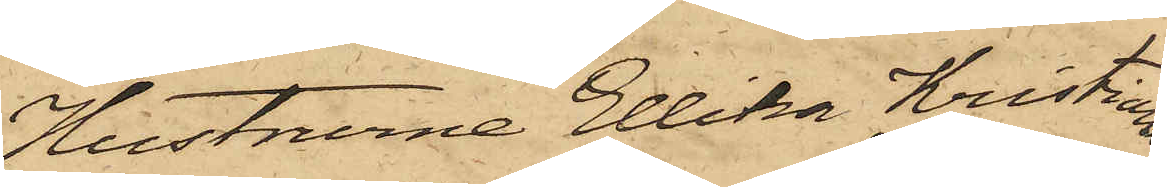Hustrurne Ellika Kristians¬
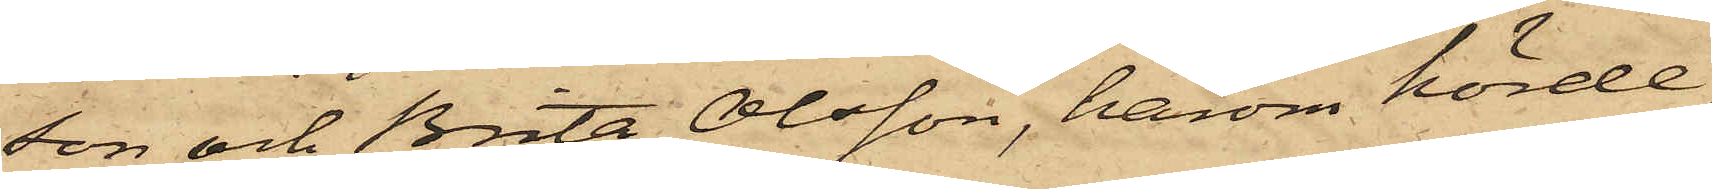son och Brita Olsson, härom hörde,
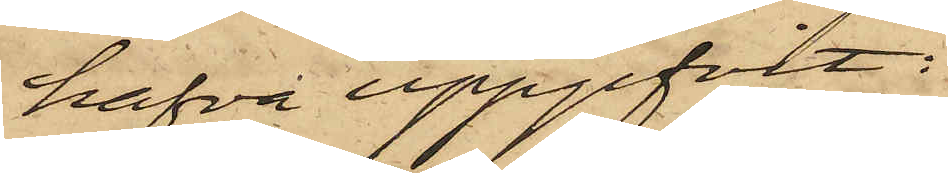hafva uppgifvit:
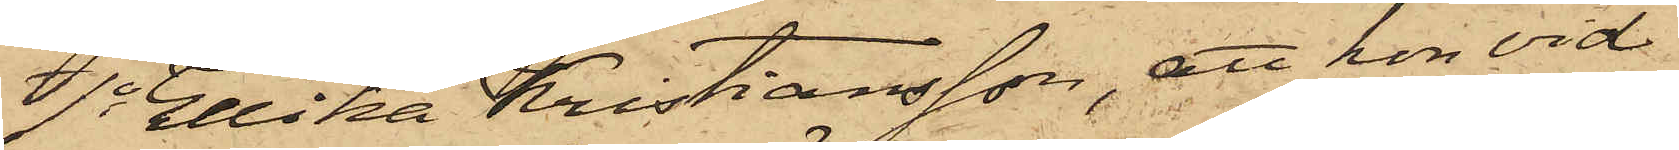1o Ellika Kristiansson, att hon vid
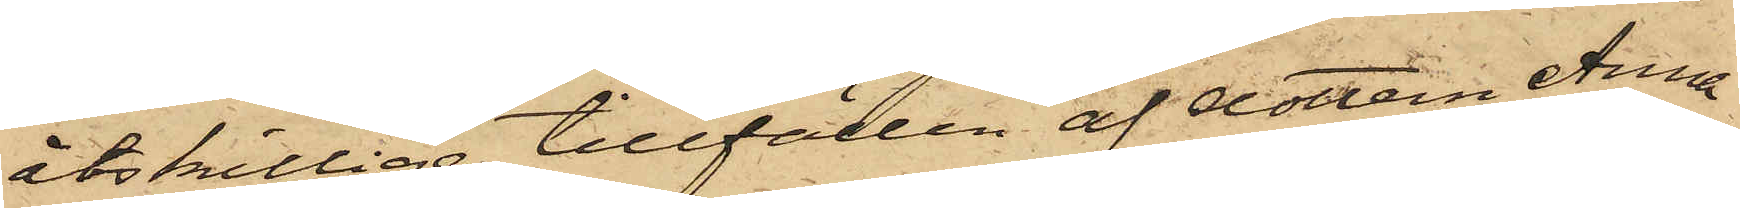åtskillige tillfällen af dottern Anna
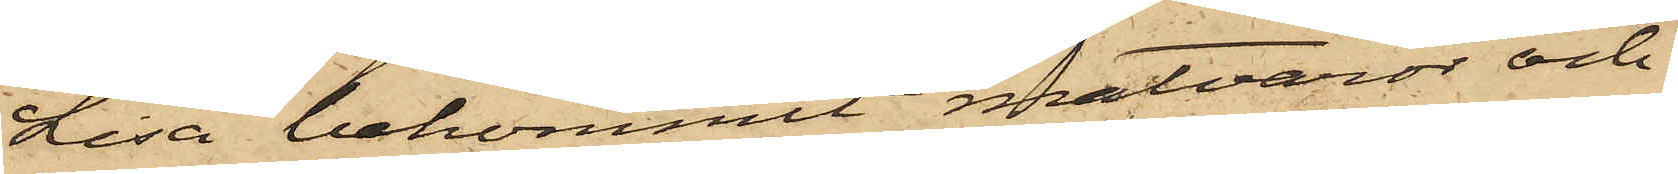Lisa bekommit matvaror och
